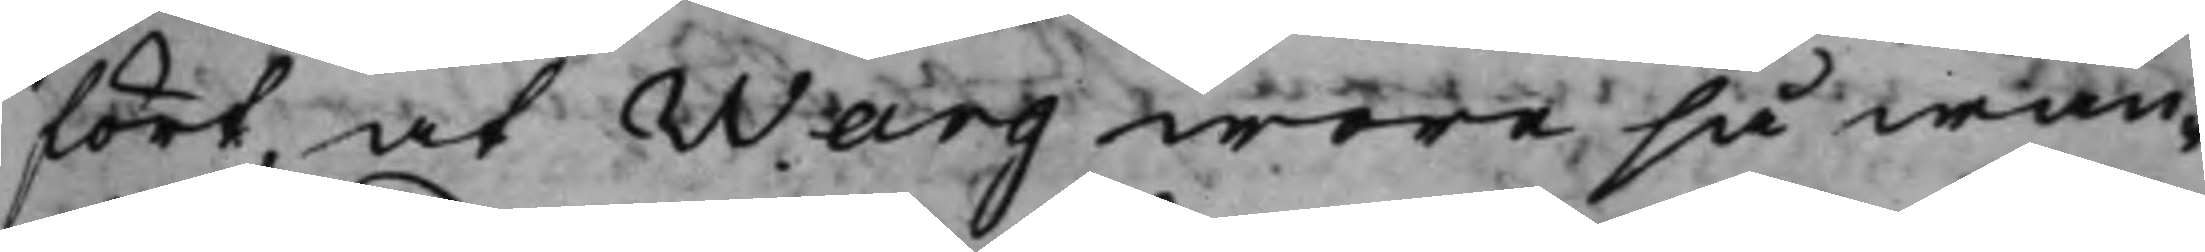fört, at Warg wore så wan¬
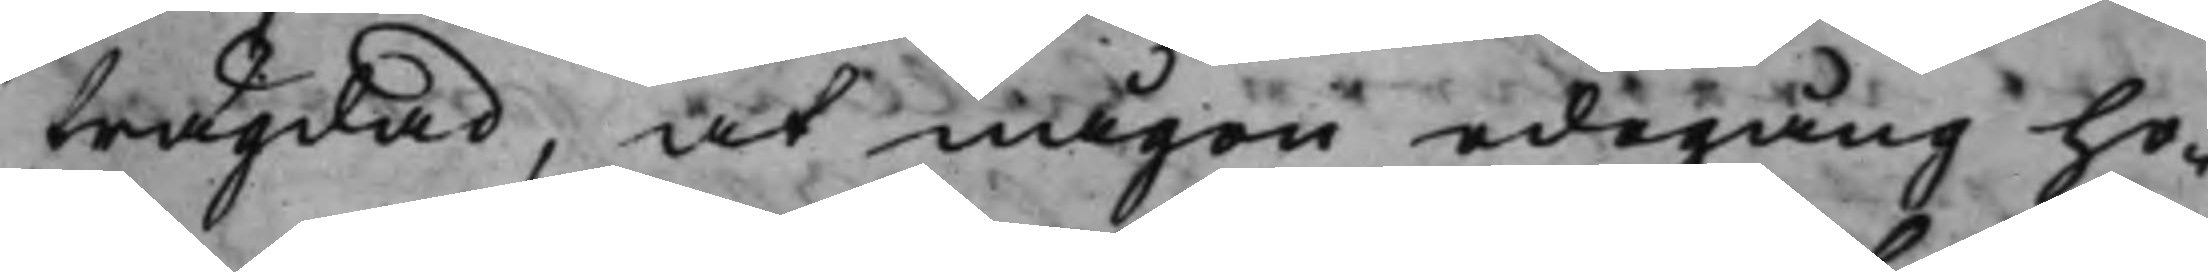frägdad, at någon edegång ho¬
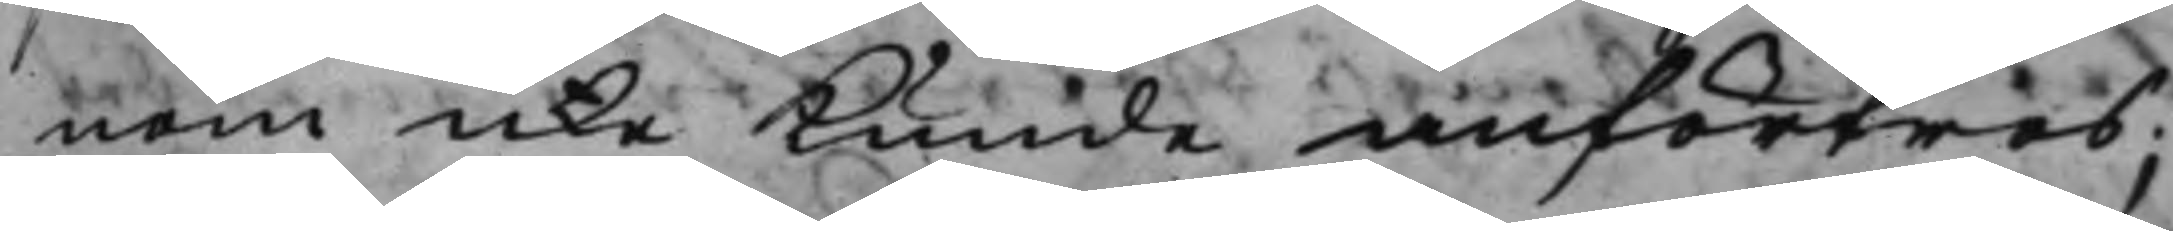nom icke Kunde anförtros;
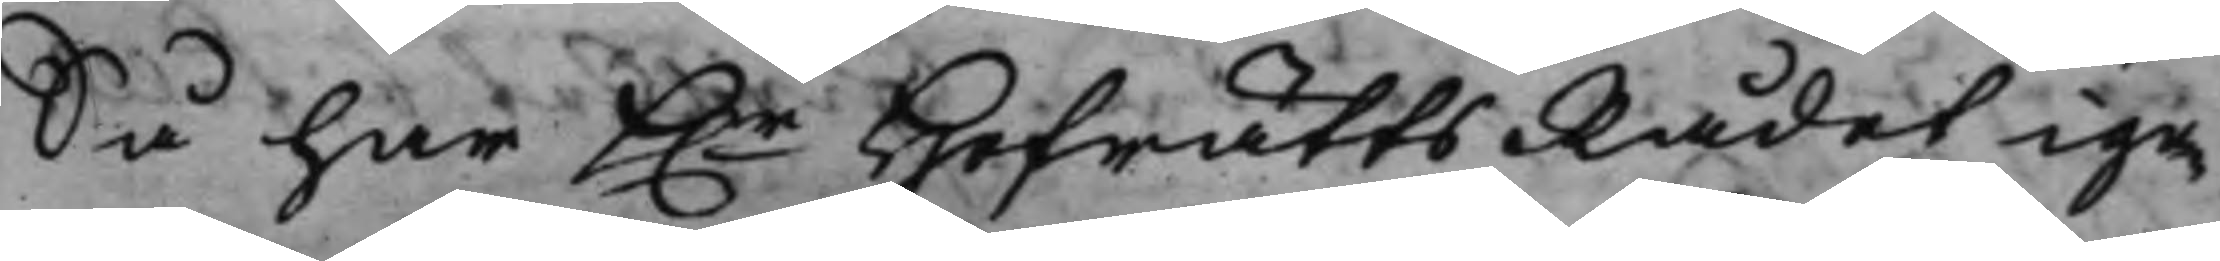Så har h.r HofrättsRådet ige¬ 
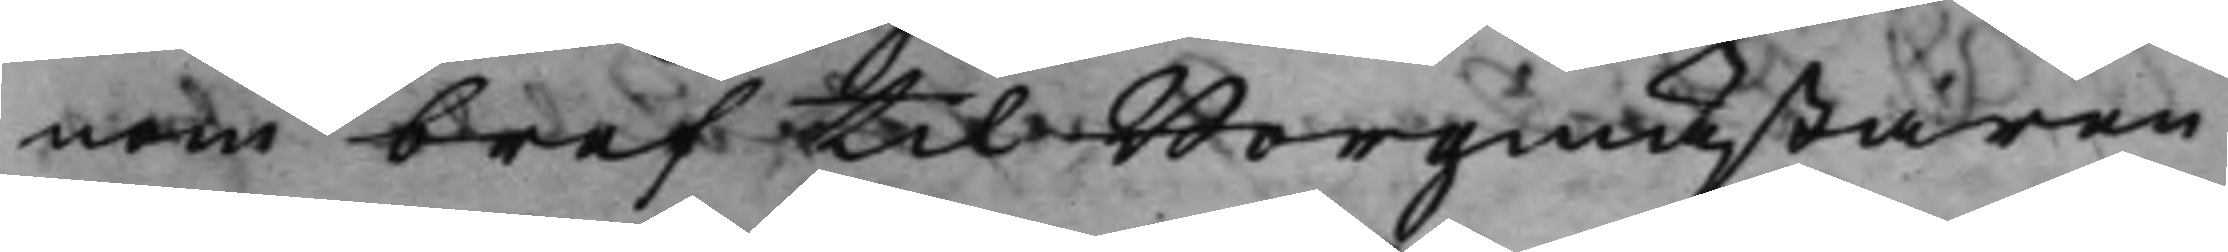nom bref til Borgmästaren
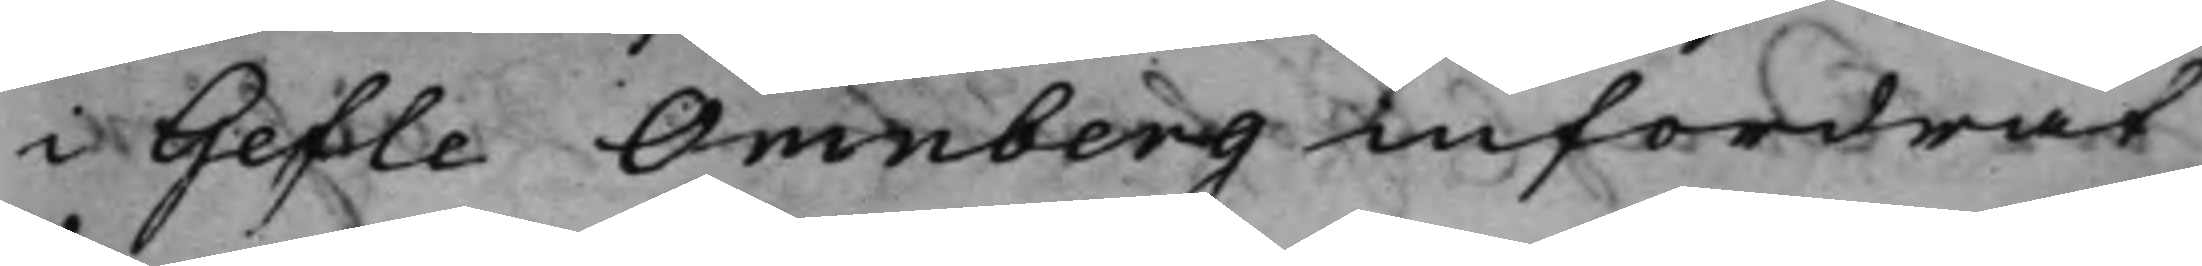i Gefle Omnberg infordrat
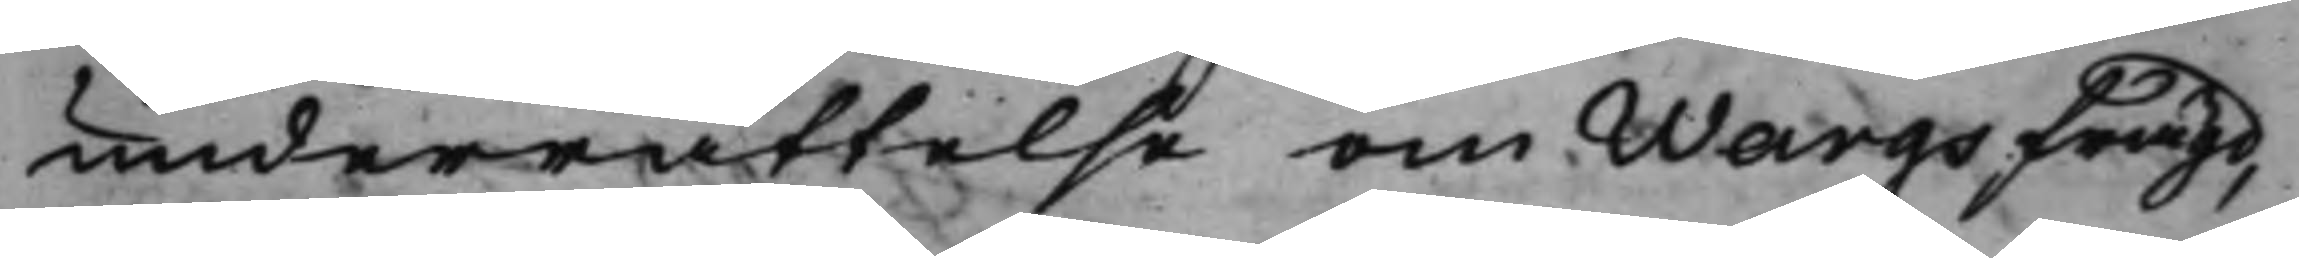underrättelse om Wargs frägd,
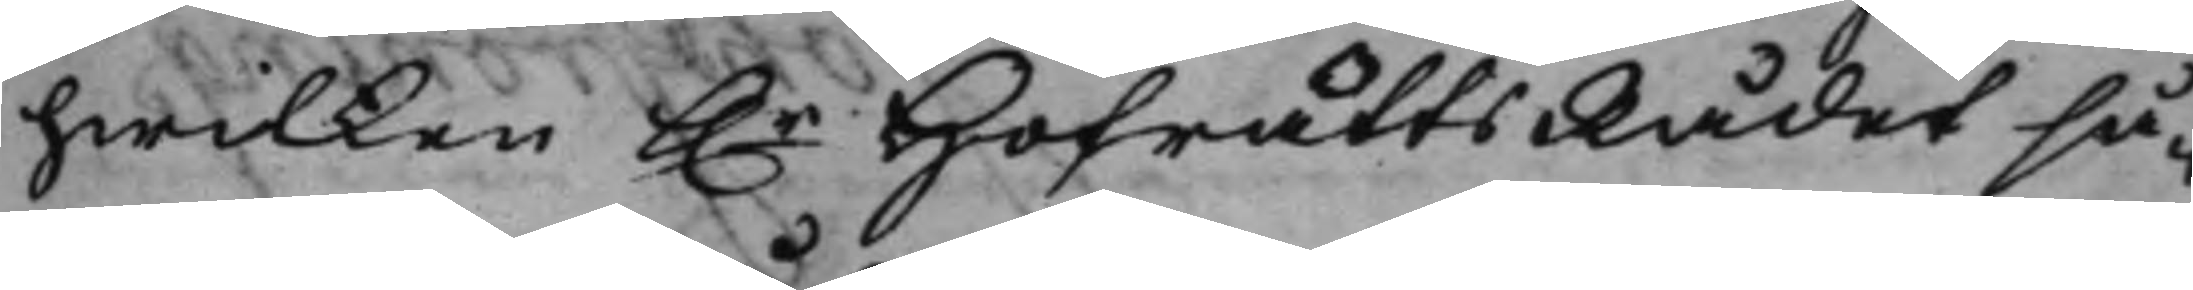hwilken h.r HofrättsRådet så¬ 
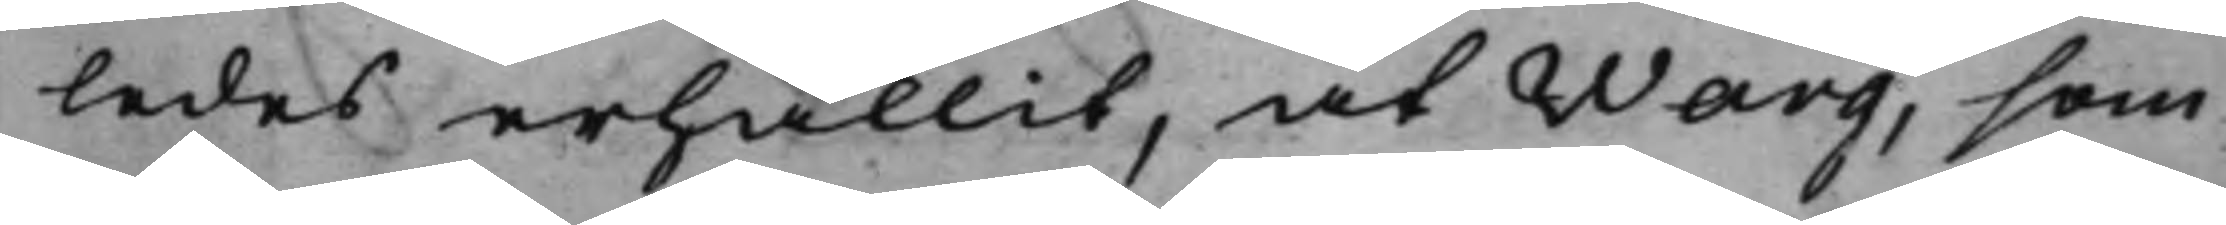ledes erhållit, at Warg, som
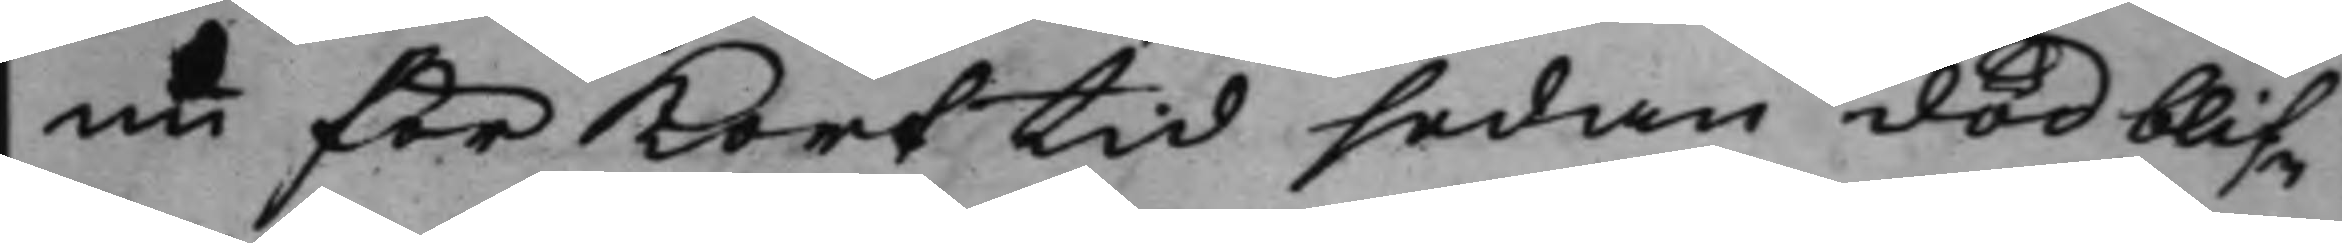nu för Kort tid sedan död blif¬
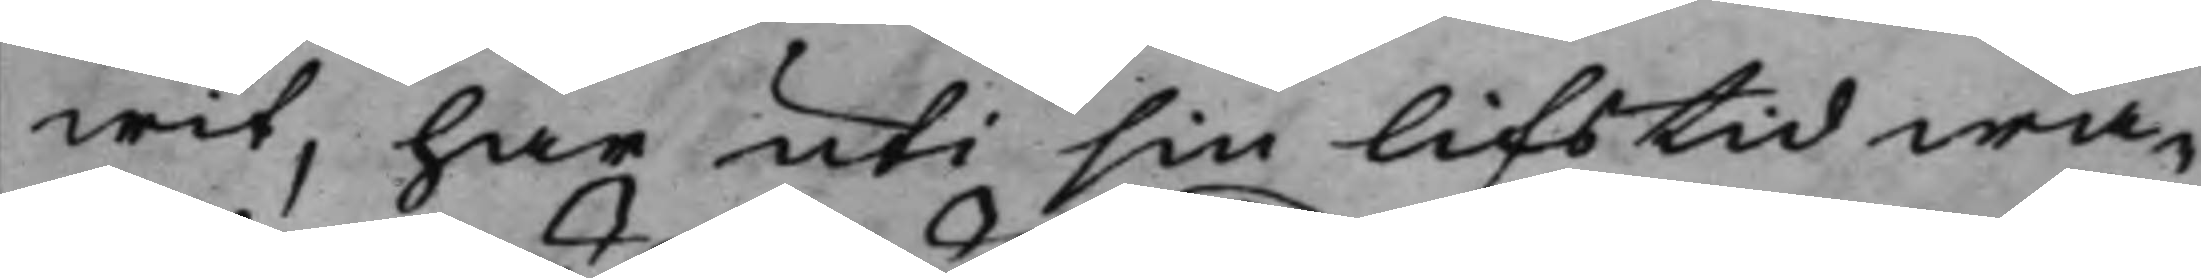wit, har uti sin lifstid wa¬
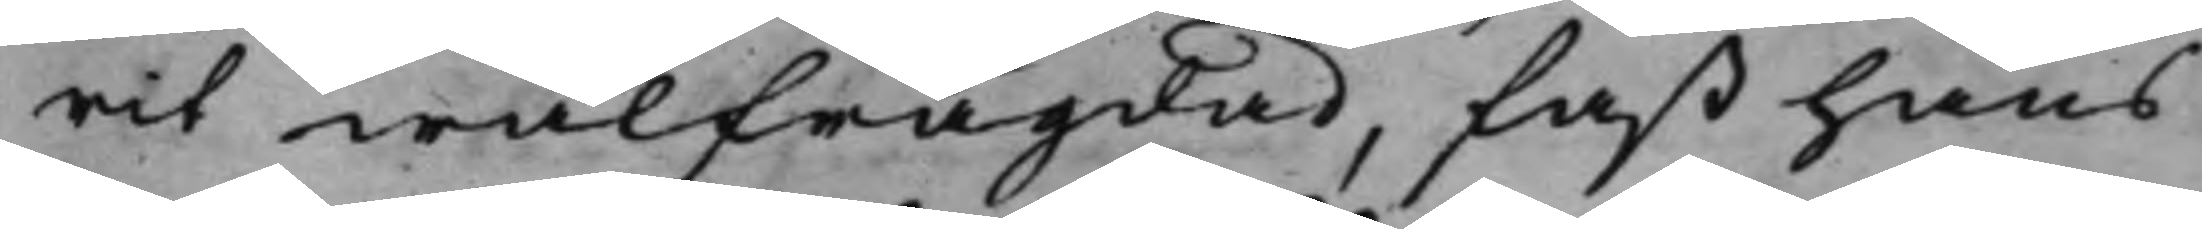rit wälfrägdad, fast hans
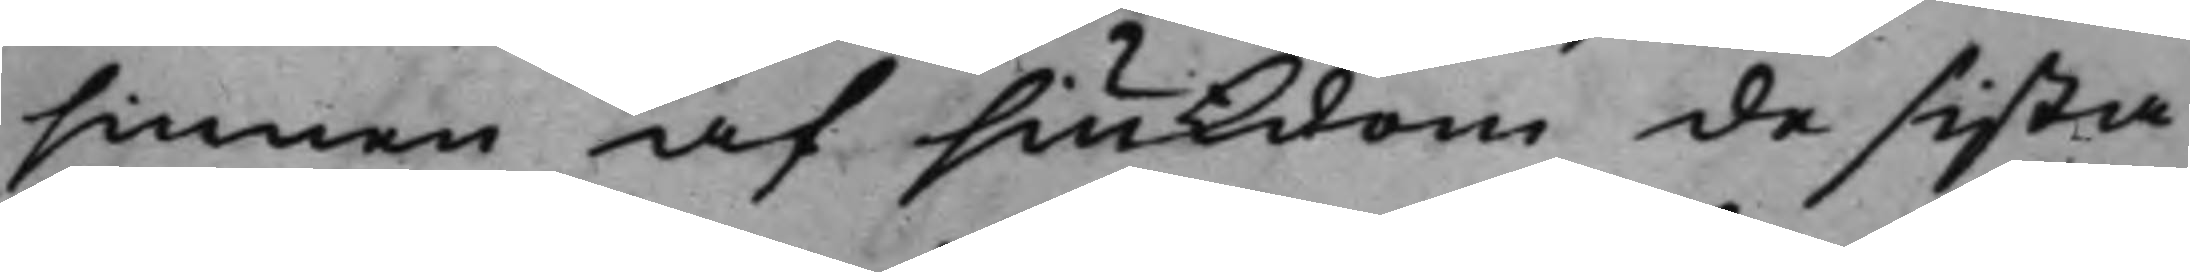sinnen af siukdom de sista
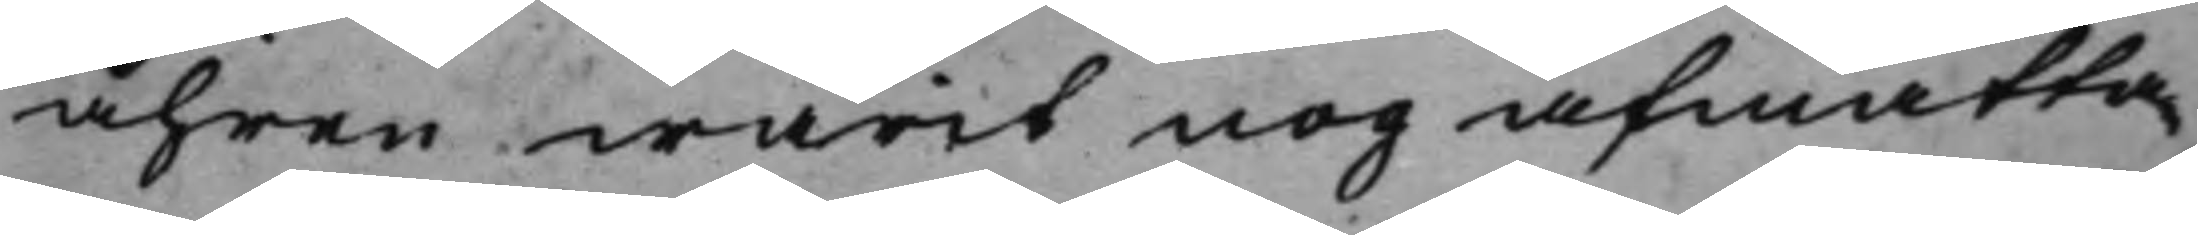åhren warit nog afmatta¬
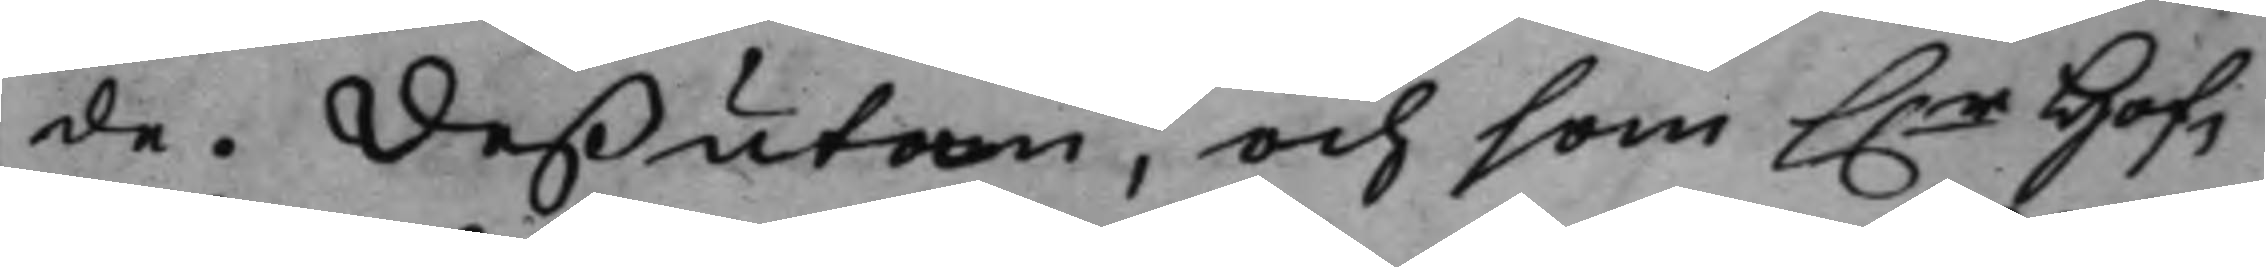de. Deßutan, och som h.r Hof¬ 
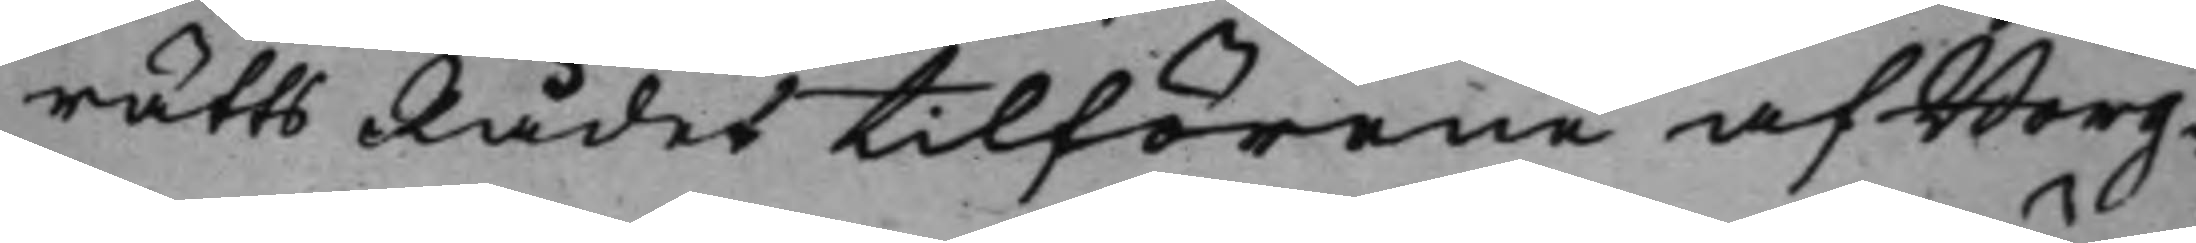rätts Rådet tilförene af Borg¬
